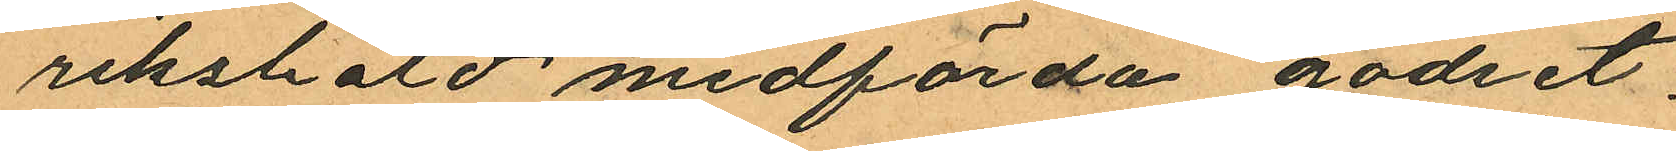rikshald medförda godset.
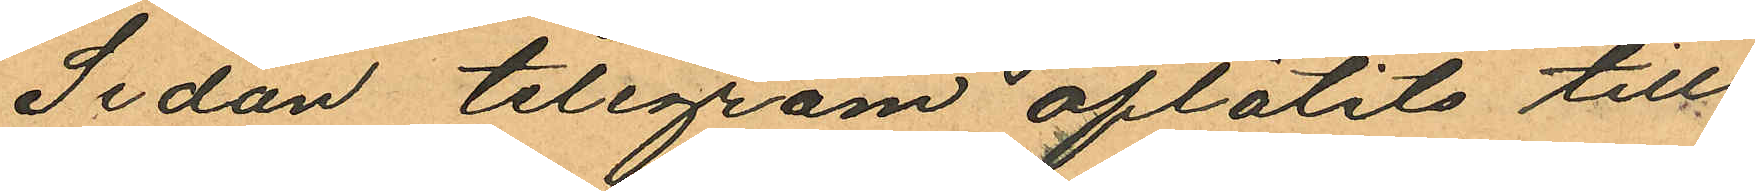Sedan telegram aflåtits till
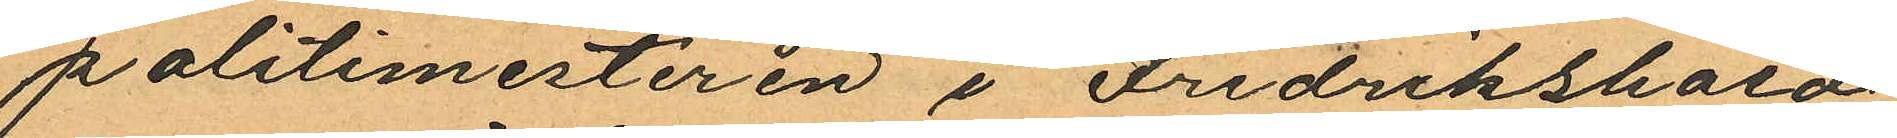politimesteren i Fredrikshald
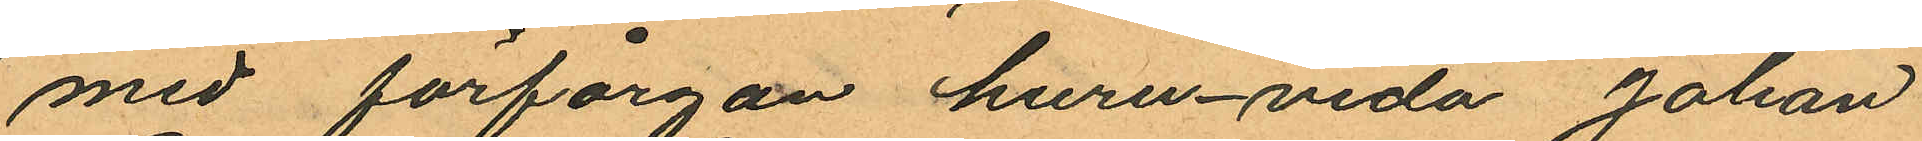med förfårgan huruvida Johan
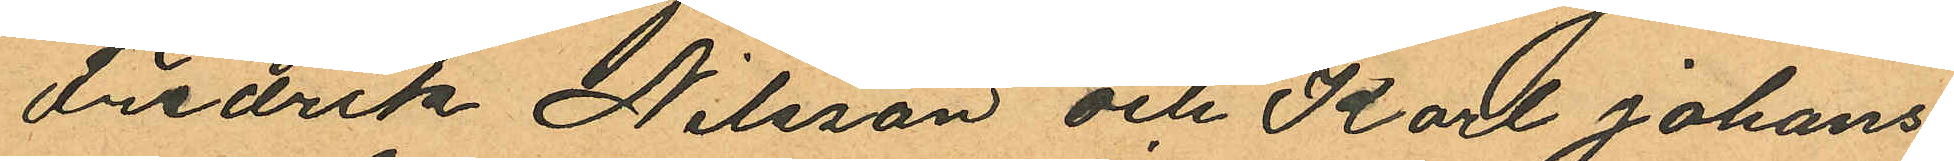Fredrik Nilsson och Karl Johans
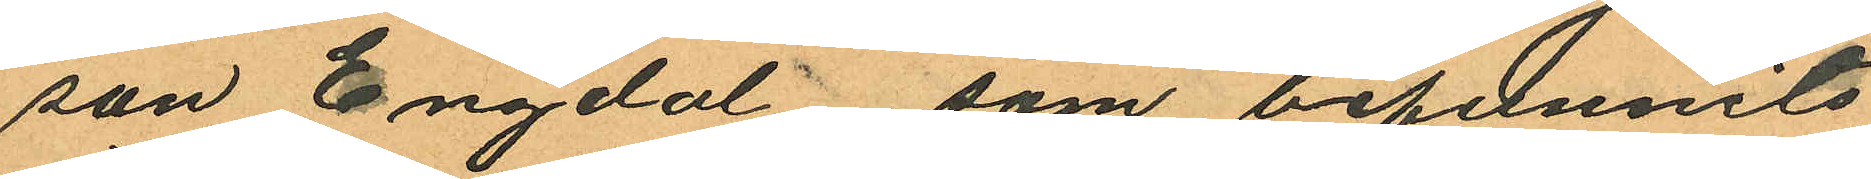son Engdal som befunnits
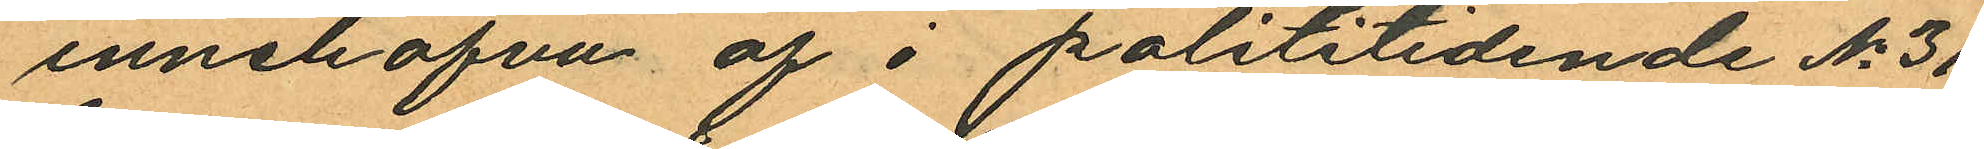innehafva af i polititidende No 31
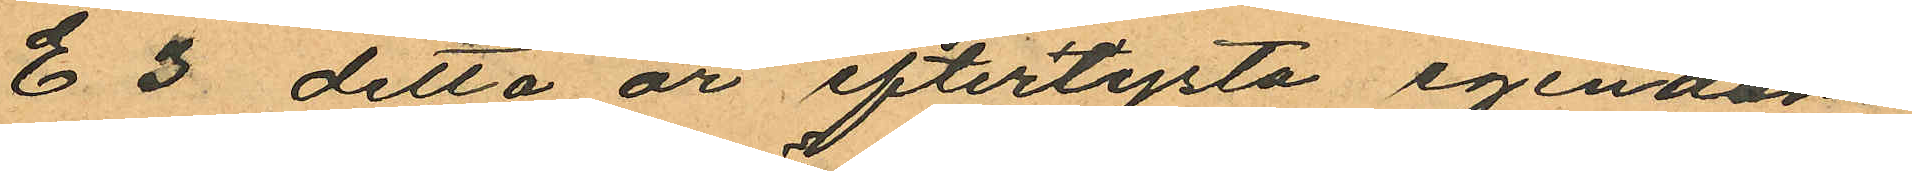E 3 detta år efterlysta egendom
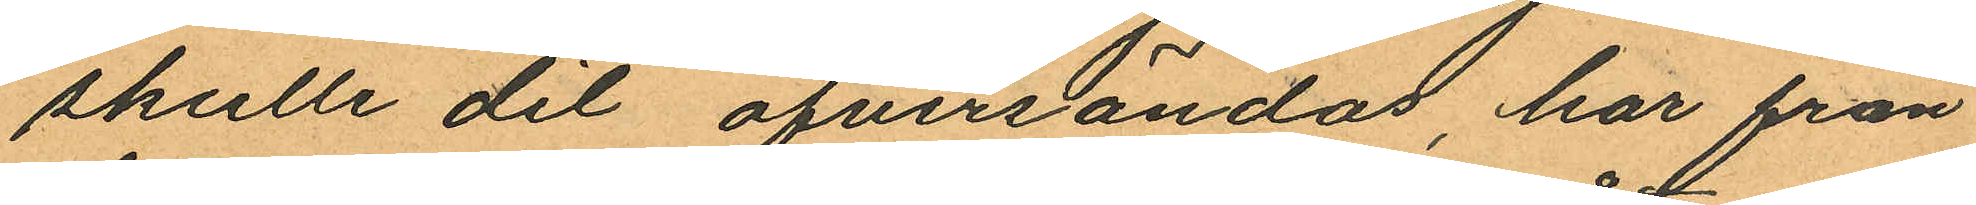skulle dit öfversändas, har från
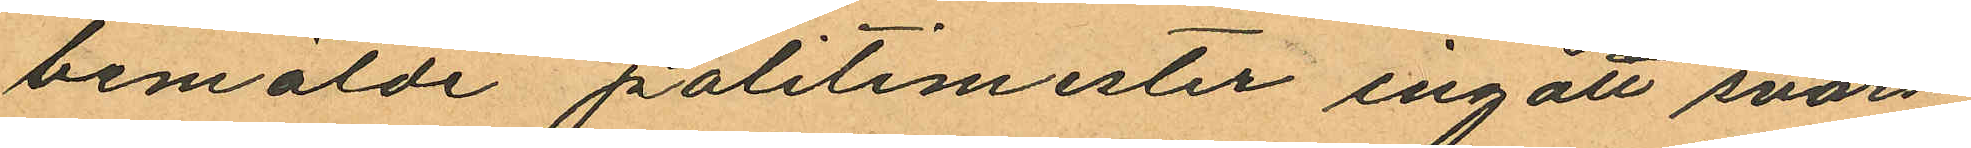bemälde politimester ingått svars
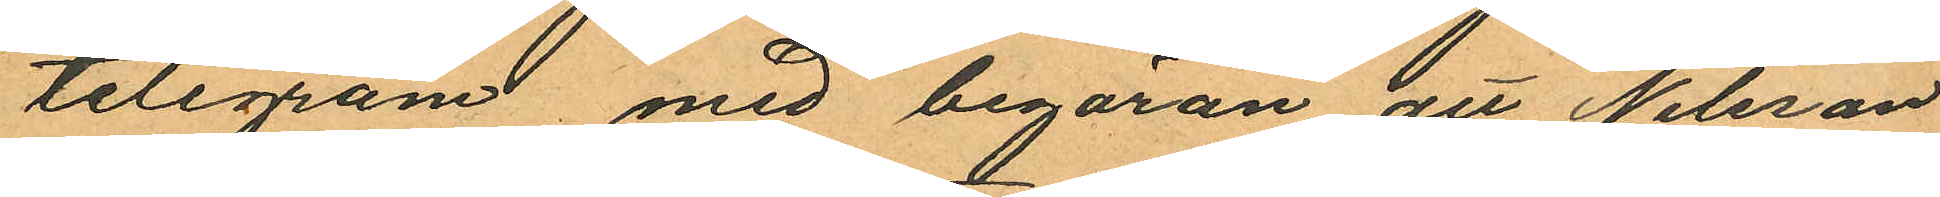telegram med begäran att Nilsson
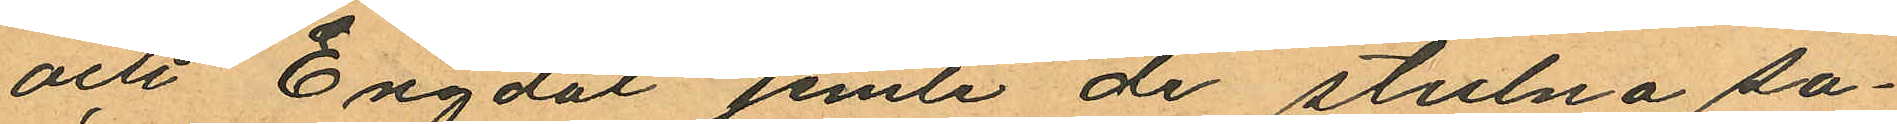och Engdal jemte de stulna sa¬
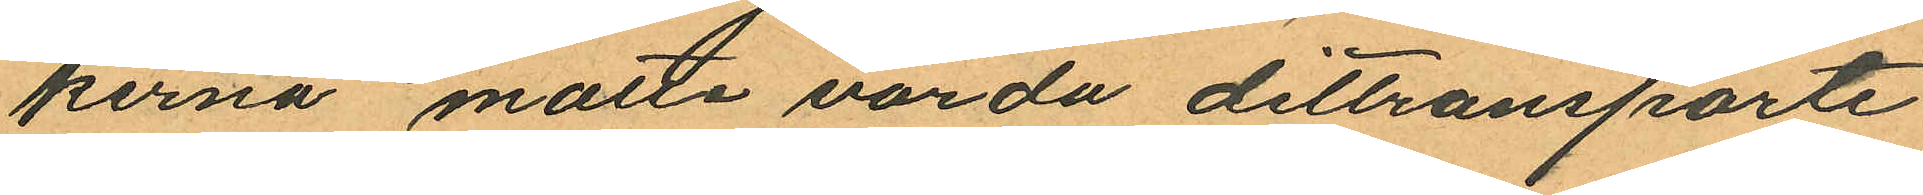kerna matte varda dittransporte¬
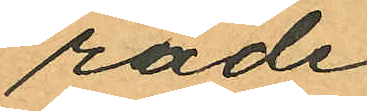rade
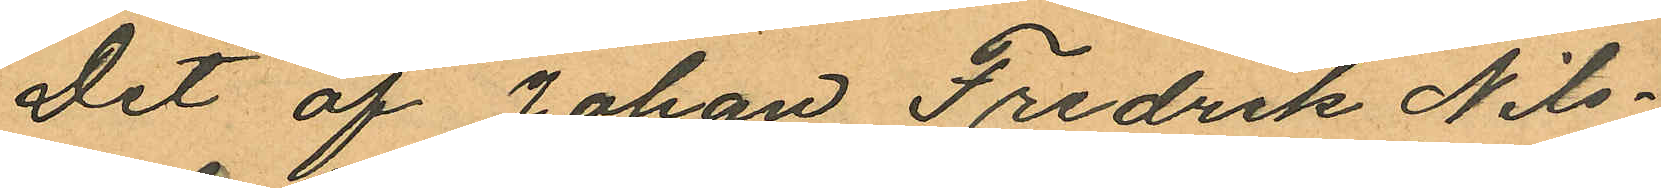Det af Johan Fredrik Nils¬
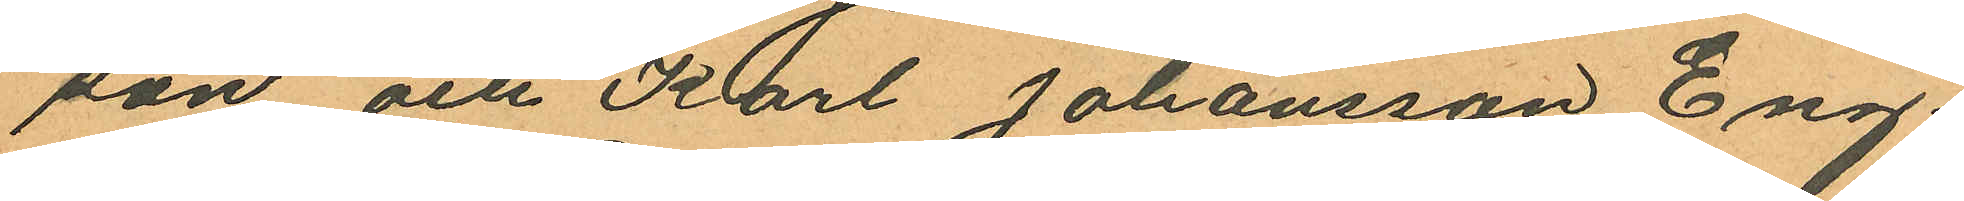son och Karl Johansson Eng
